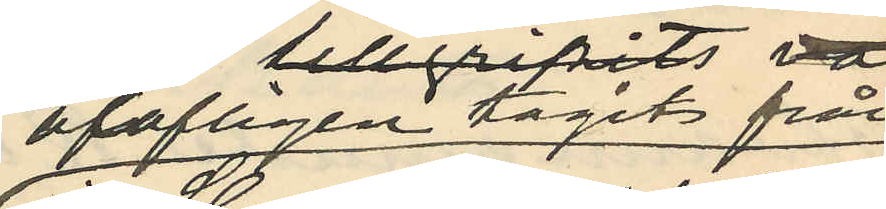olofligen tagits från
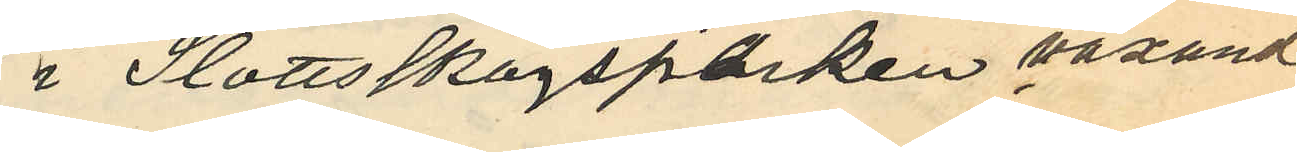i Slottsskogsparken växande
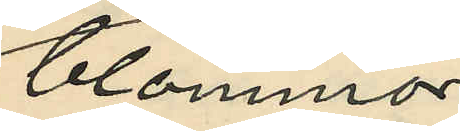blommor
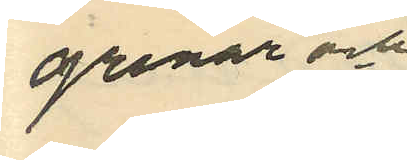grenar och
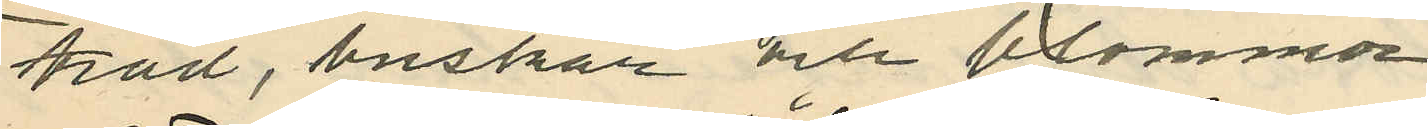träd, buskar och blommor
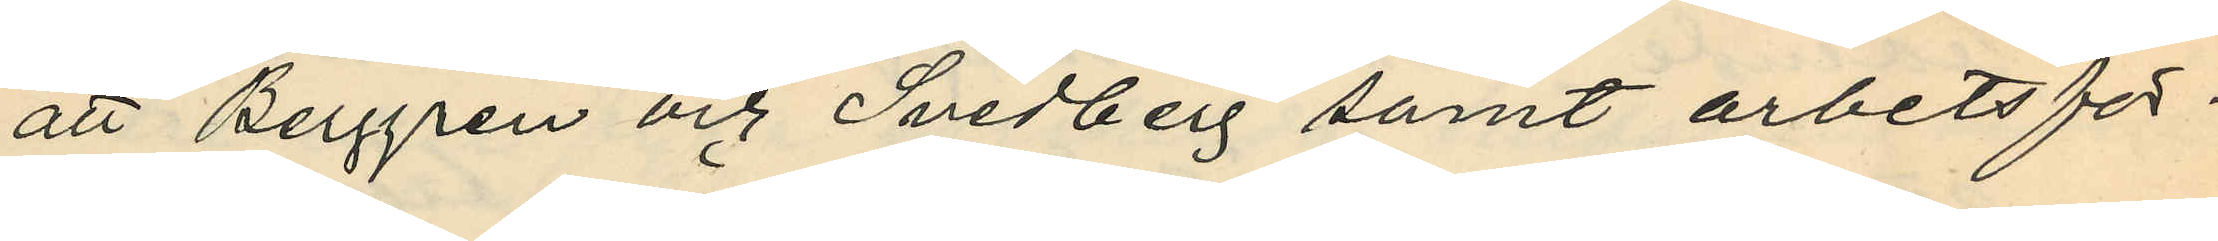att Berggren och Svedberg samt arbetsför¬
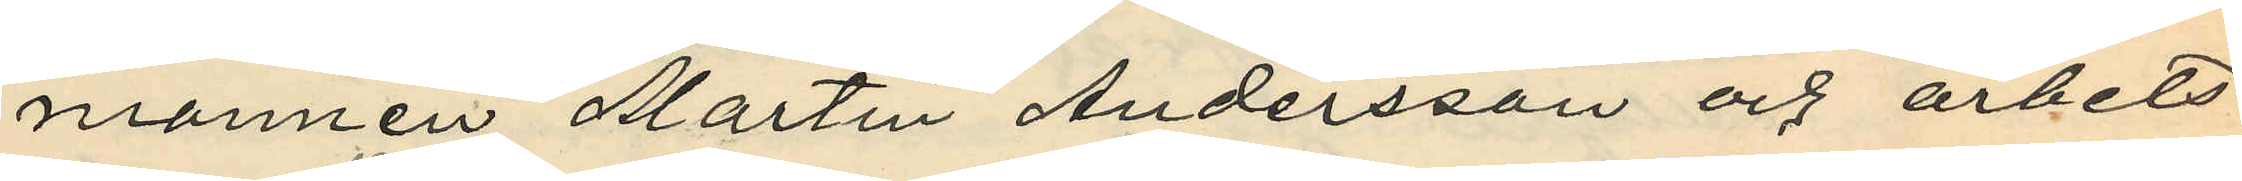mannen Martin Andersson och arbets¬
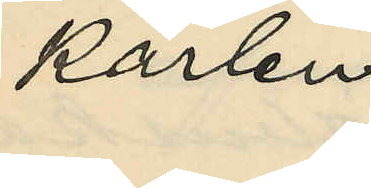karlen
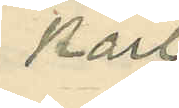Karl
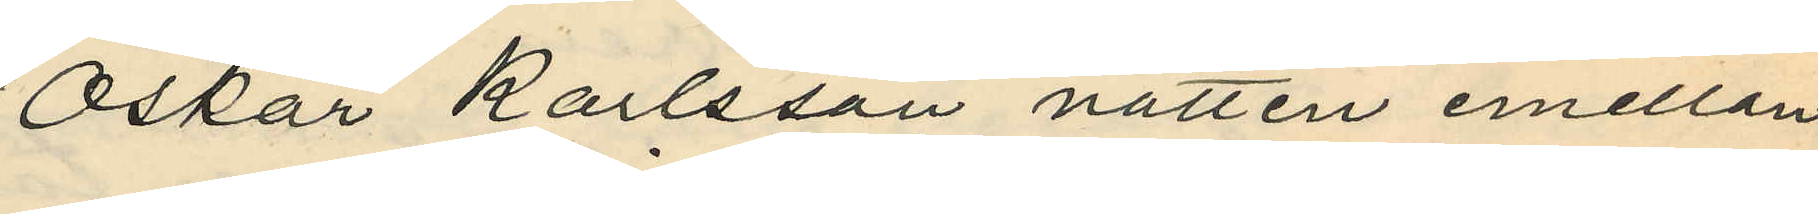Oskar Karlsson natten emellan
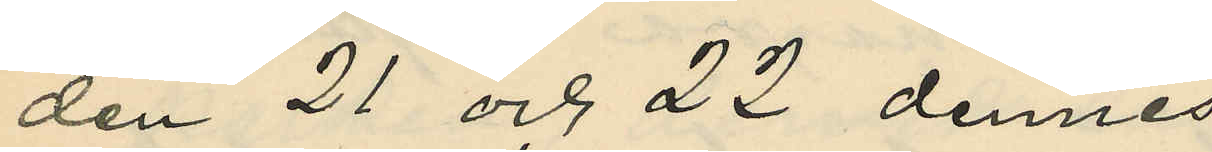den 21 och 22 dennes
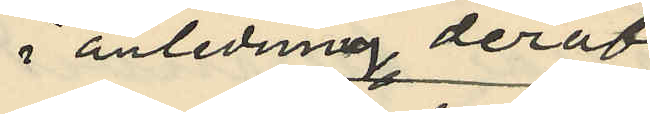i anledning deraf
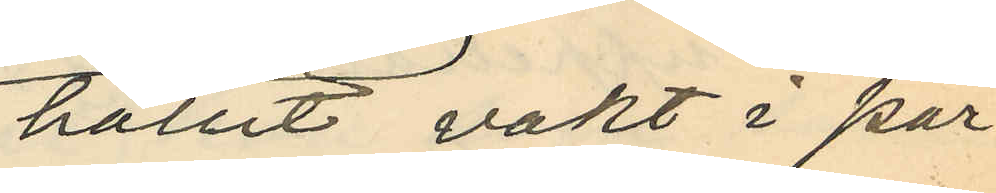hållit vakt i par¬
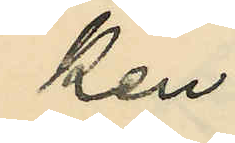ken
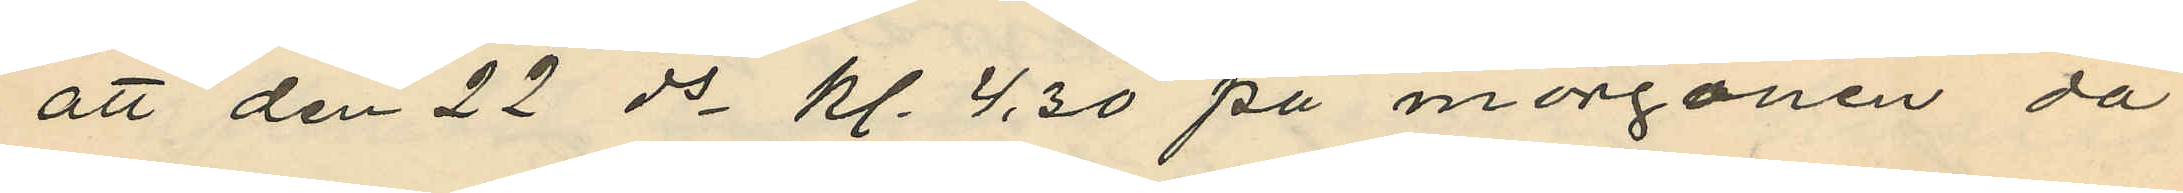att den 22 ds kl. 4,30 på morgonen då
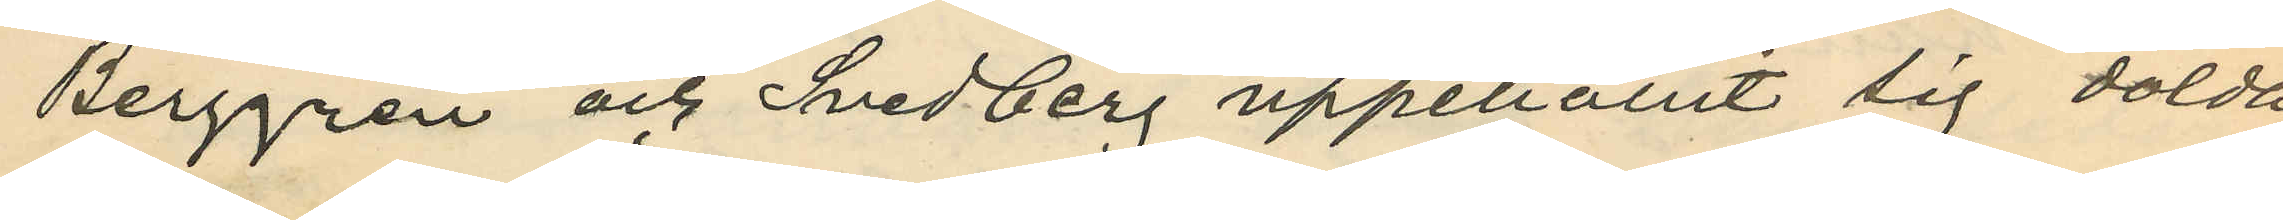Berggren och Svedberg uppehållit sig dolda
